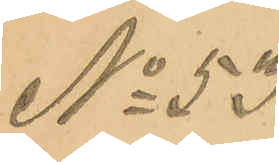No 53
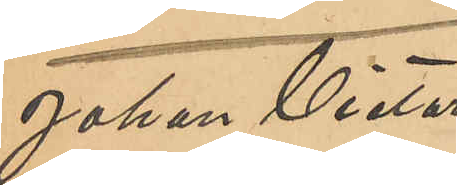Johan Victor
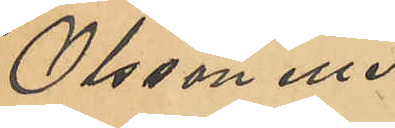Olsson eller
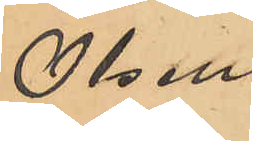Olsen
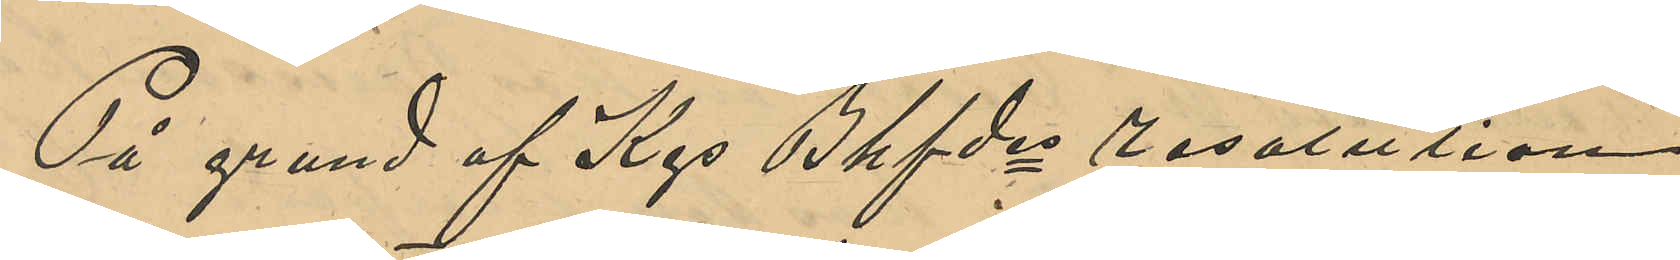På grund af Kgs Bhfdes resolution
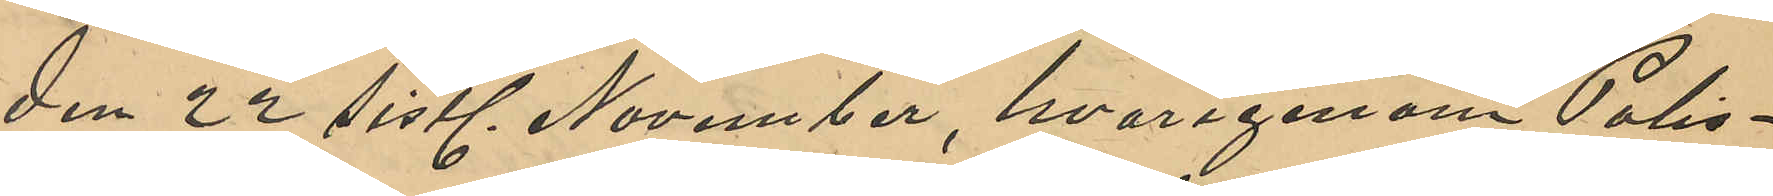den 22 sistl November, hvarigenom Polis¬
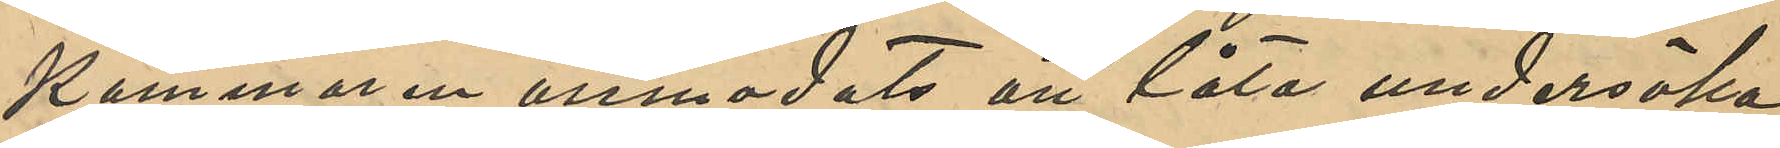kammaren anmodats att låta undersöka
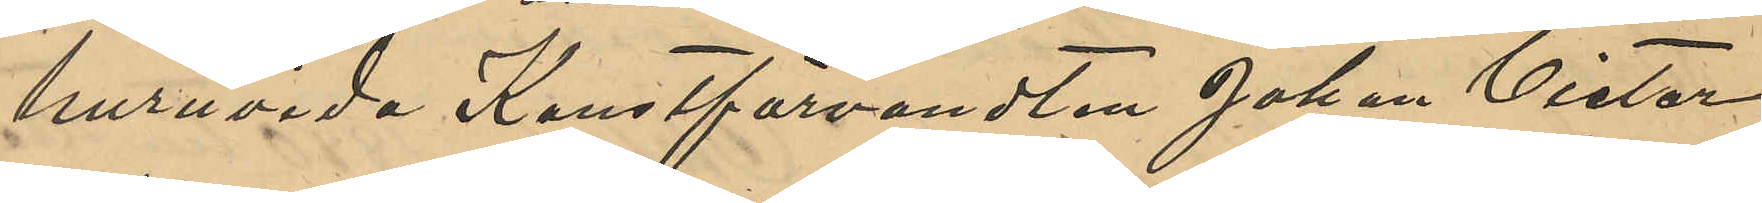huruvida Konstförvanten Johan Victor
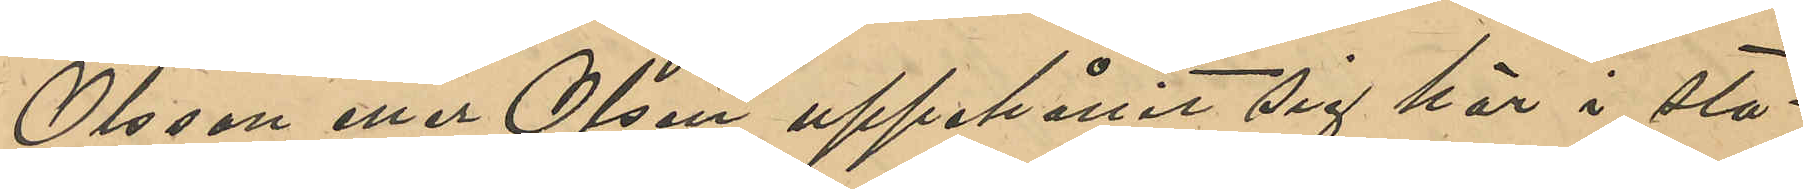Olsson eller Olsen uppehållit sig här i sta¬
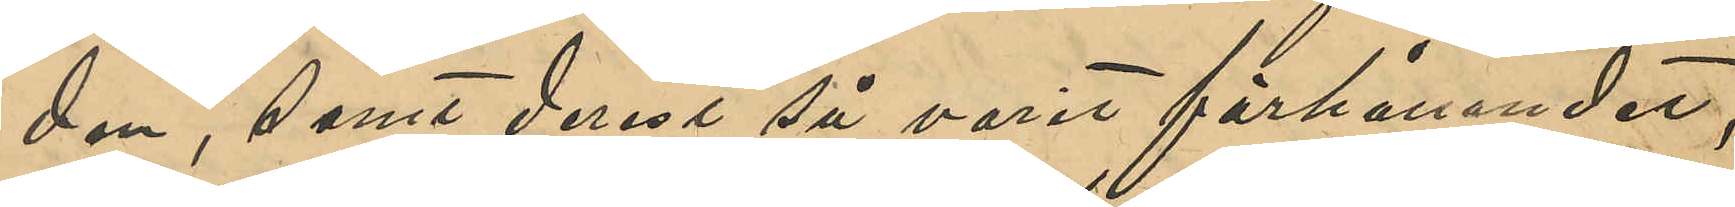den, samt derest så varit förhållandet,
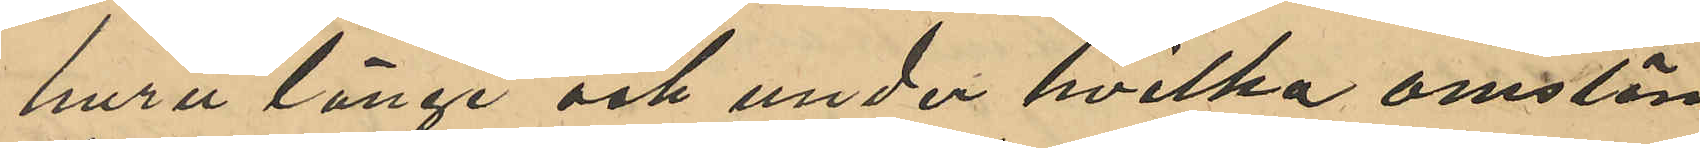huru länge och under hvilka omstän¬
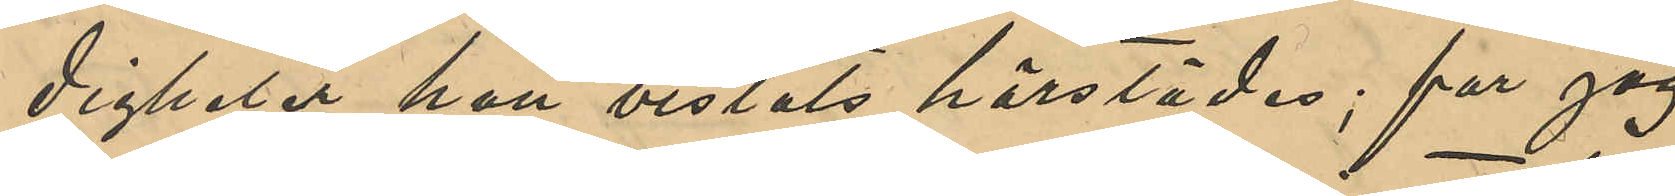digheter han vistats härstädes; far jag
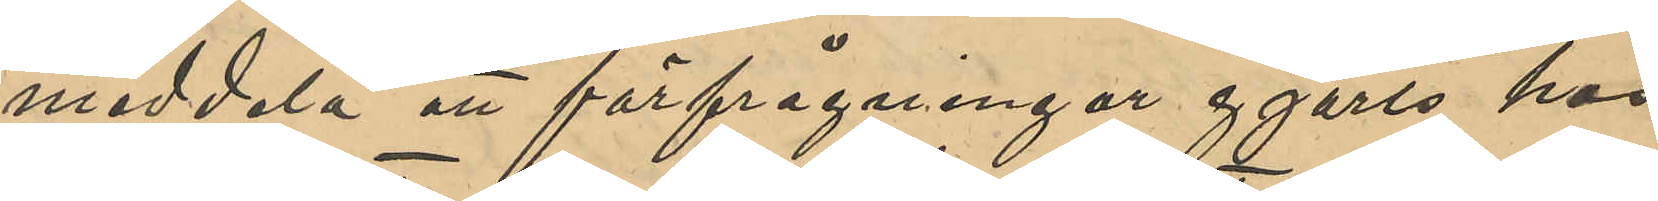meddela att förfrågningar gjorts hos
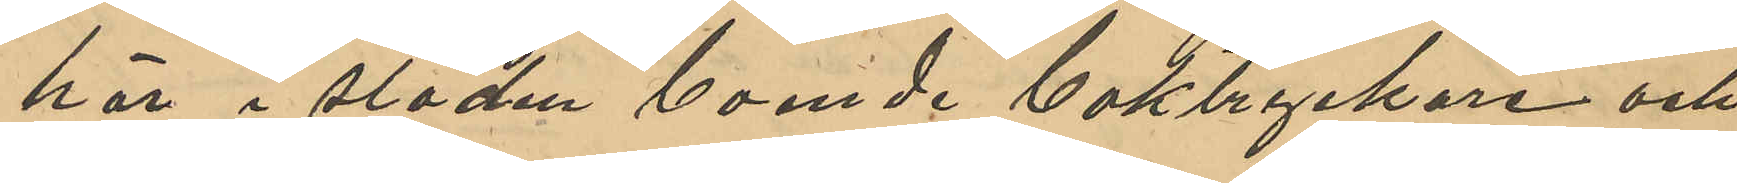här i staden boende boktryckare och
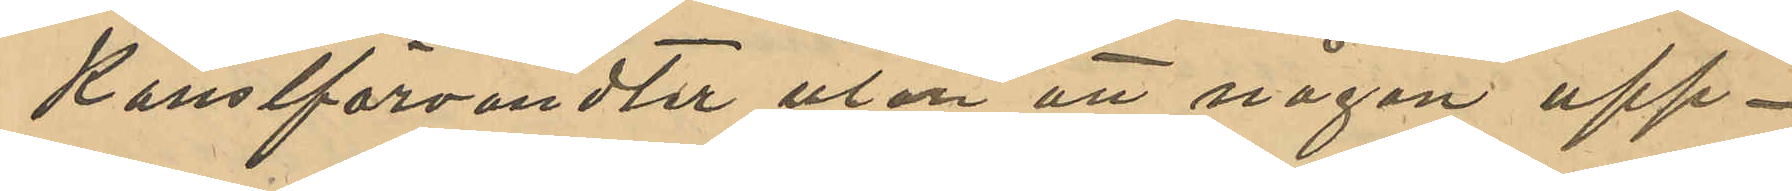Konstförvanter utan att någon upp¬
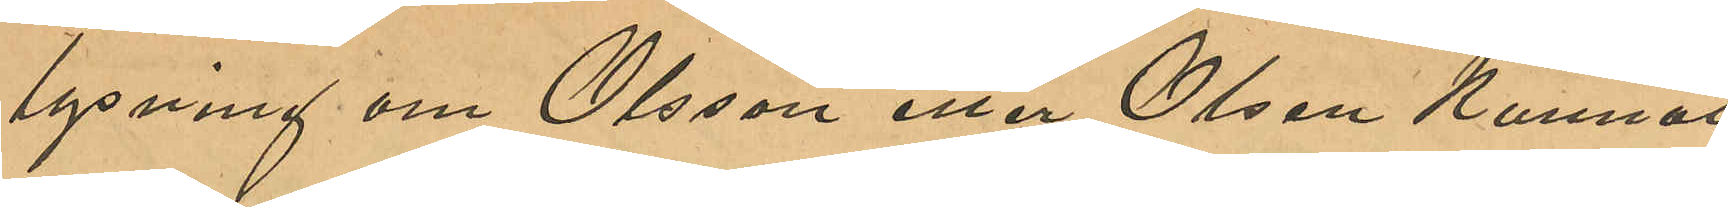lysning om Olsson eller Olsen kunnat
